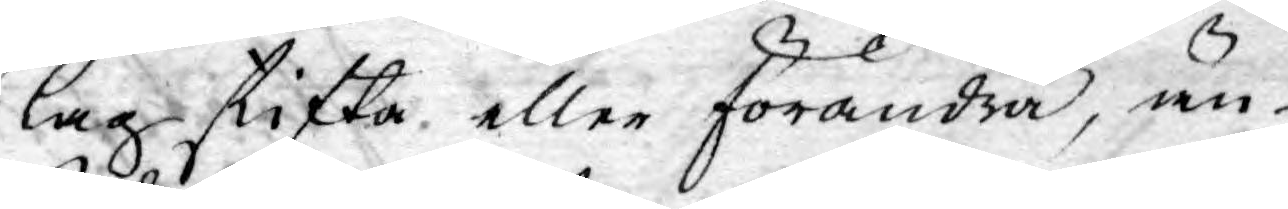lag skifta eller förändra, än
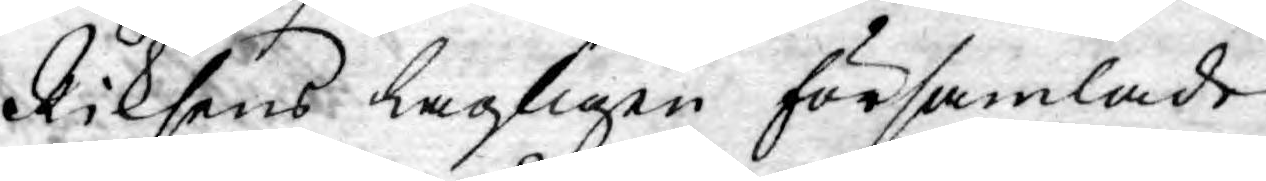Riksens Lagligen församlade
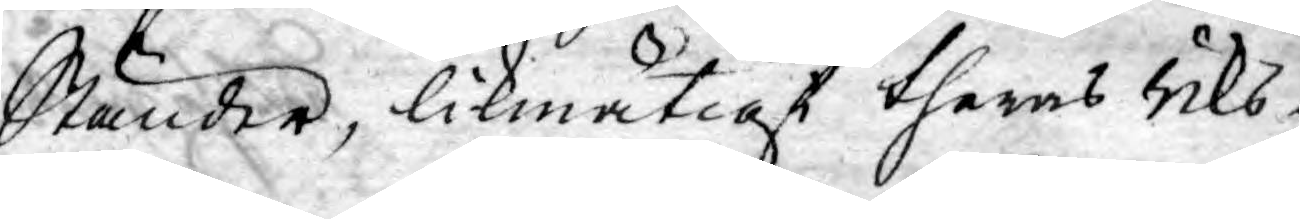Ständer, likmätigt theras Riks¬
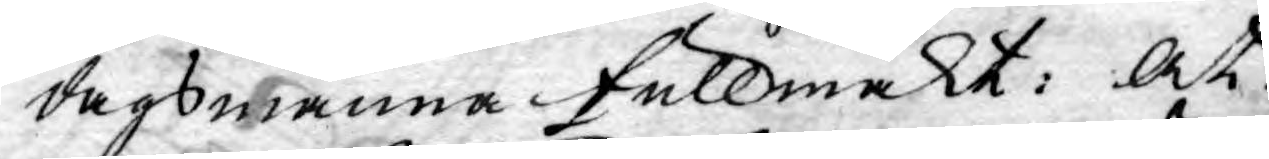dagsmanna fullmakt: At
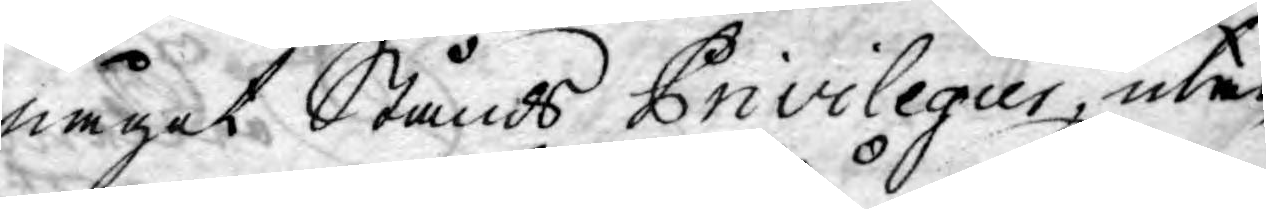något Stånds Privilegier, utan
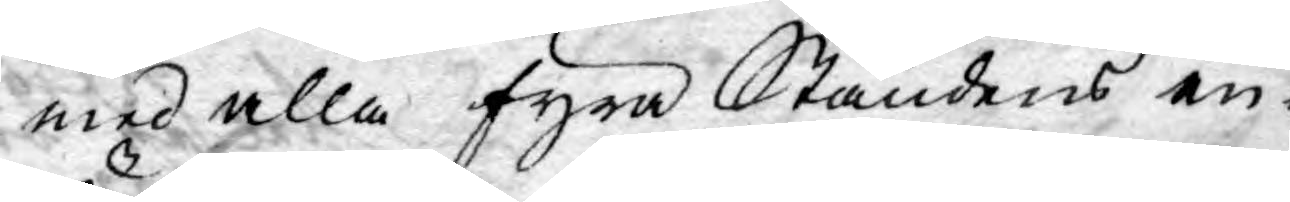med alla fyra Ståndens en¬
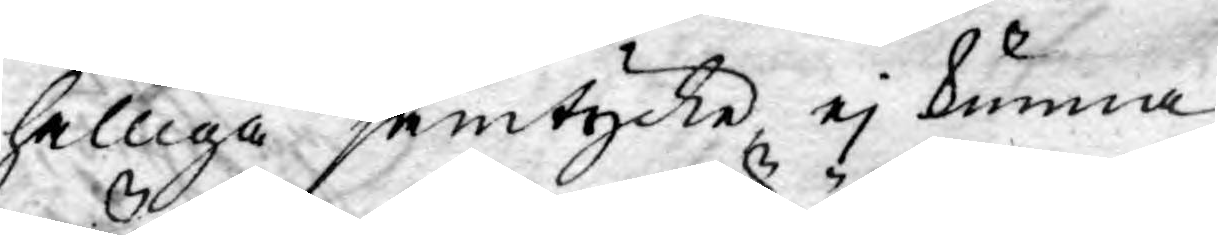hälliga samtycke, ej kunna
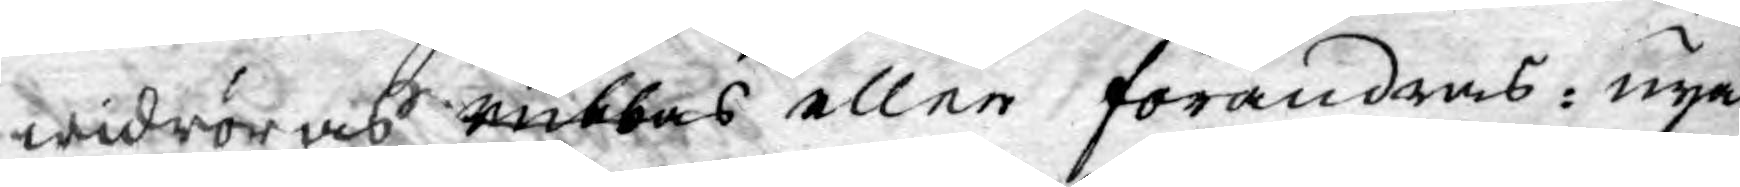widröras rubbas eller förändras: nya
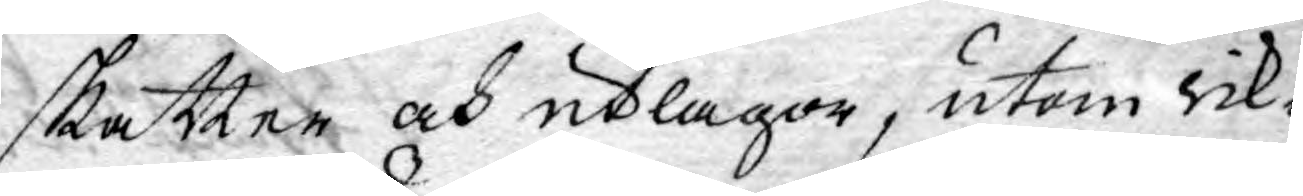skatter och utlagor, utom rik¬
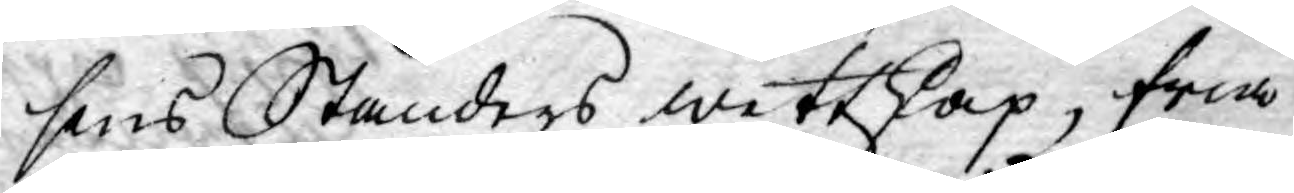sens Ständers wettskap, fria
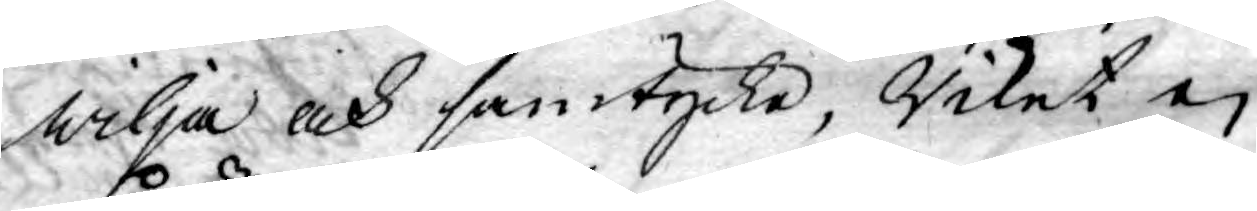wilja och samtycke, Riket ej
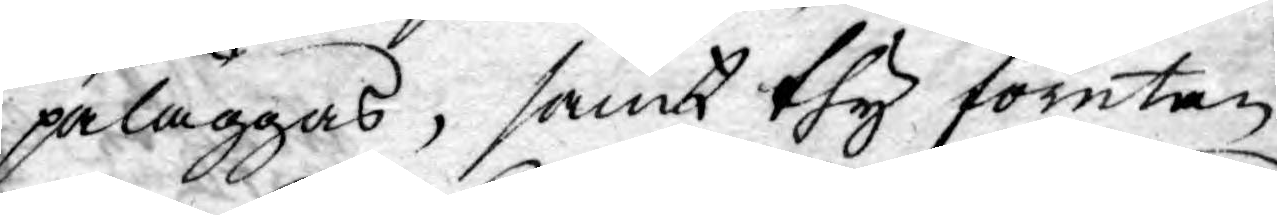påläggas, samt thy förutan
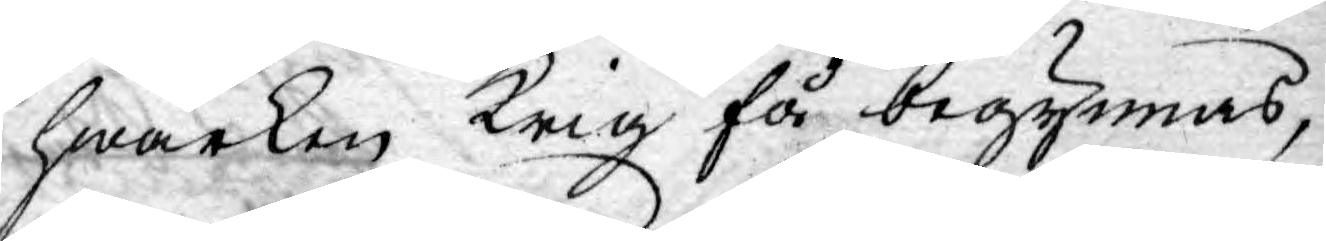hwarken Krig få begynnas,
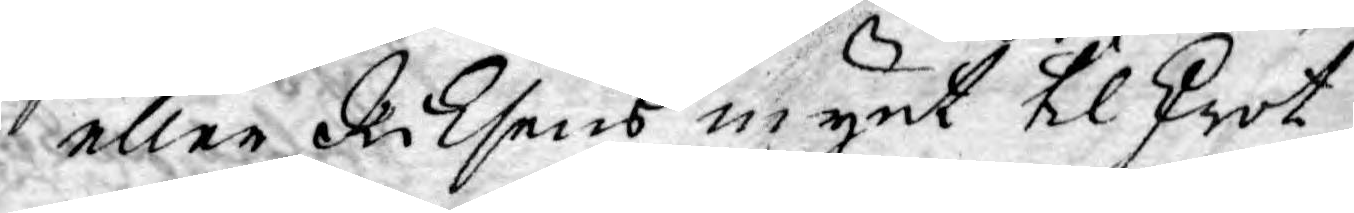eller Riksens mynt til skrot
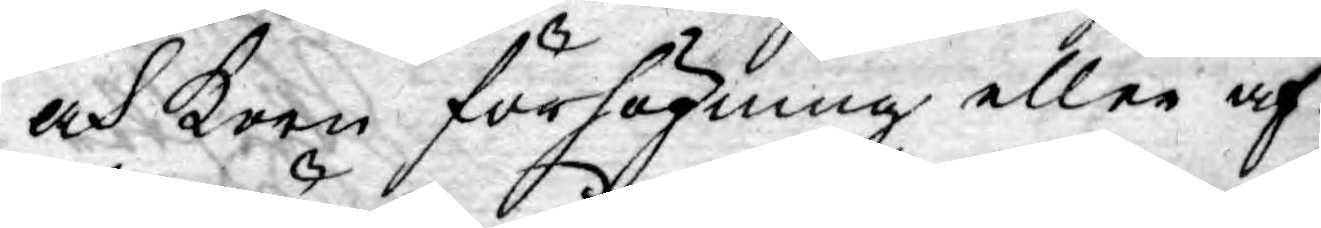och Korn förhögning eller af¬
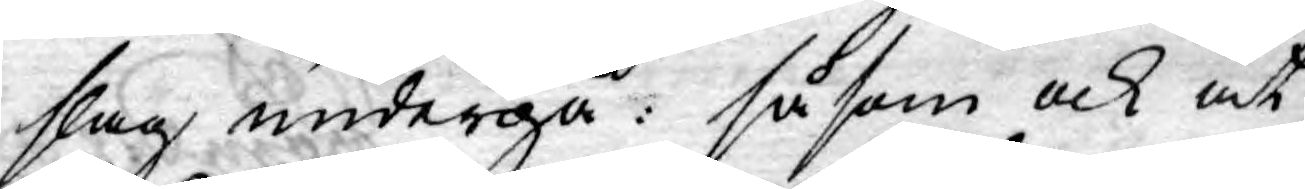slag undergå: såsom ock at
